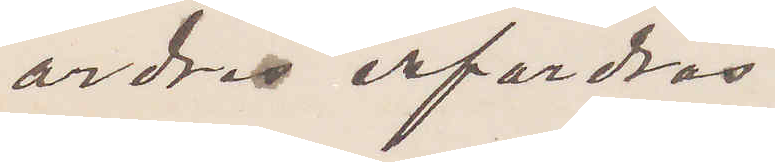ordras erfordras.
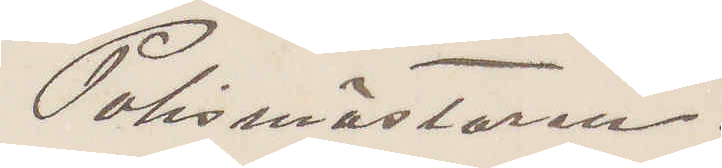Polismästaren.
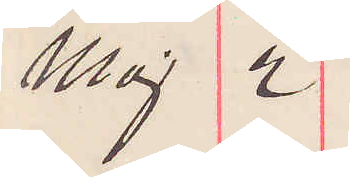Maj 2
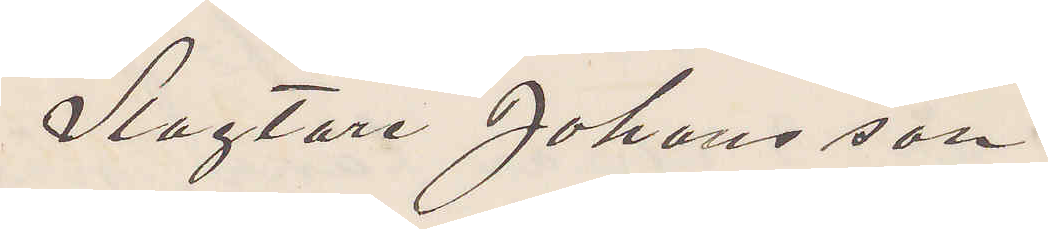Slagtare Johansson
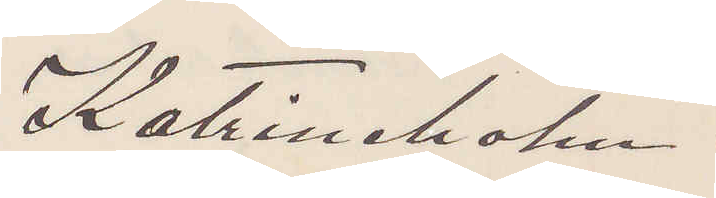Katrineholm.
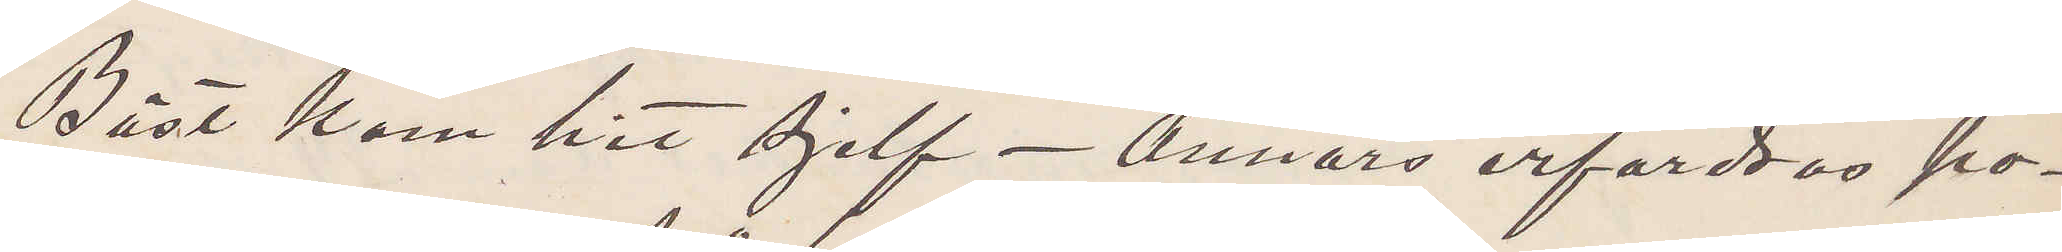Bäst kom hit sjelf - Annars erfordras po¬
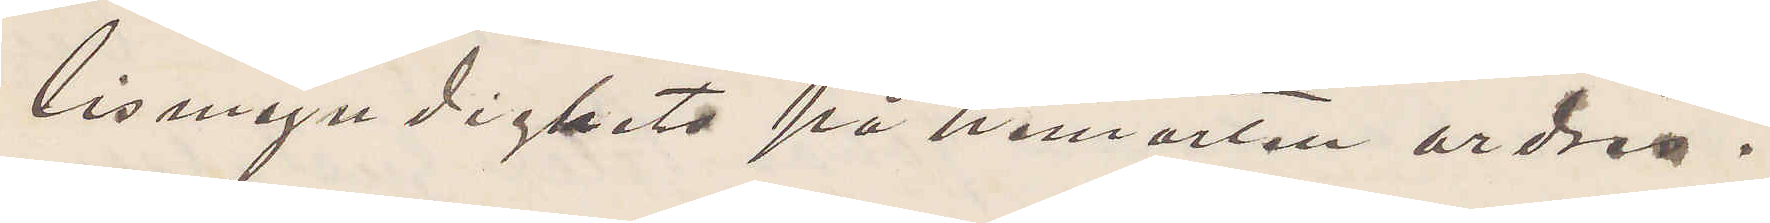lismyndighets på hemorten ordres.
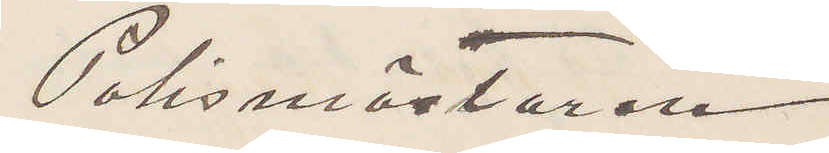Polismästaren.
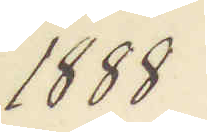1888
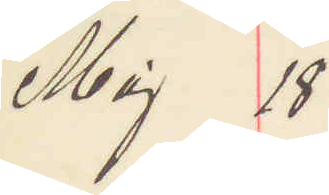Maj 18
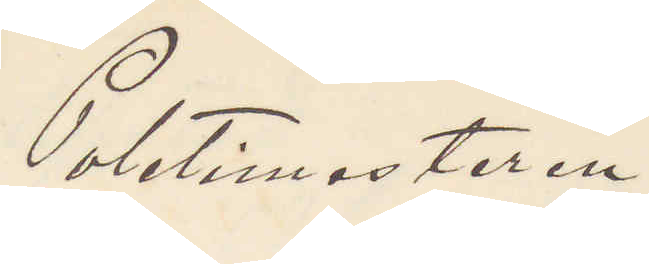Poletimesteren
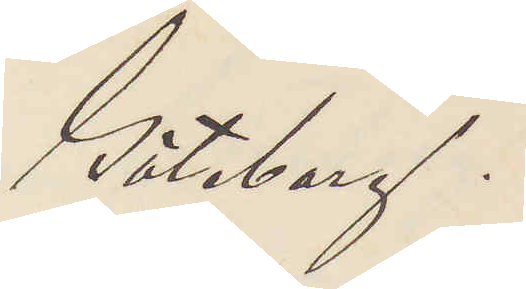Göteborg.
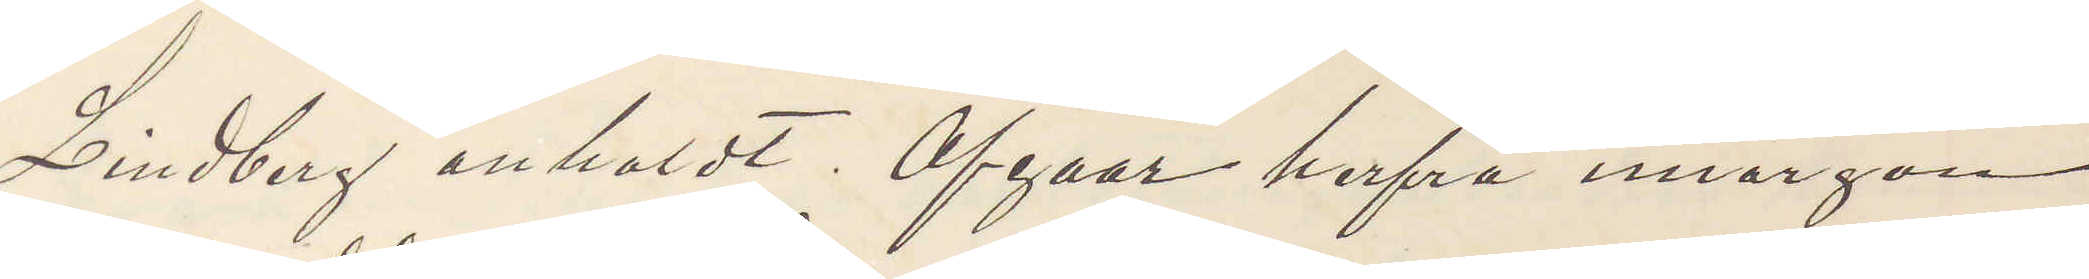Lindberg anholdt. Afgaar herfra imorgon
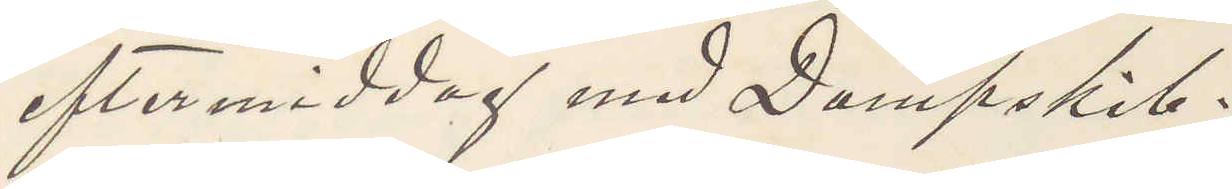eftermiddag med Dampskib.
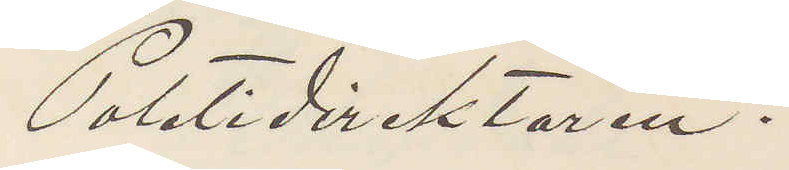Poletidirektören.
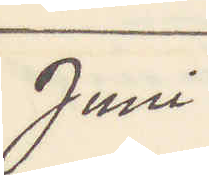Juni
